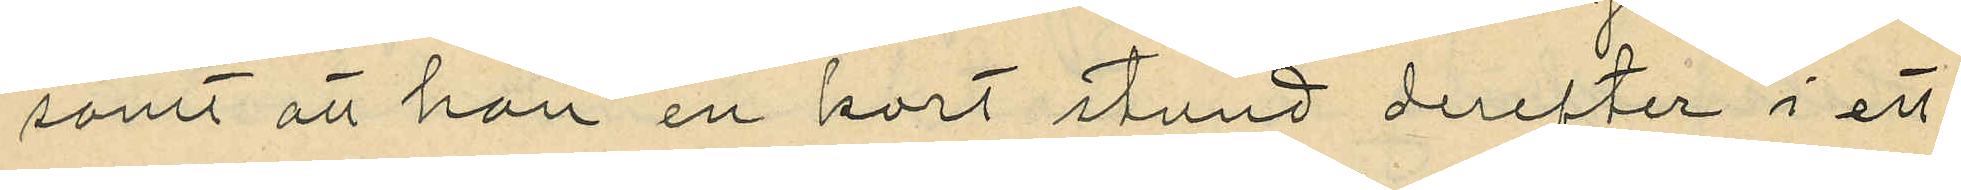samt att han en kort stund derefter i ett
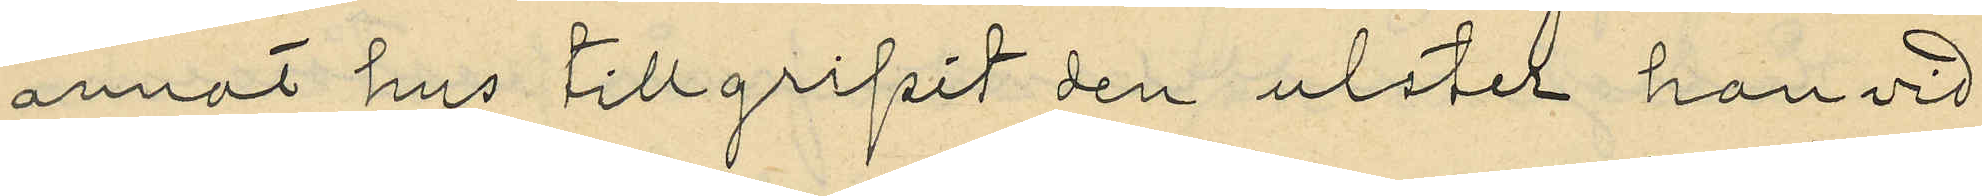annat hus tillgripit den ulster han vid
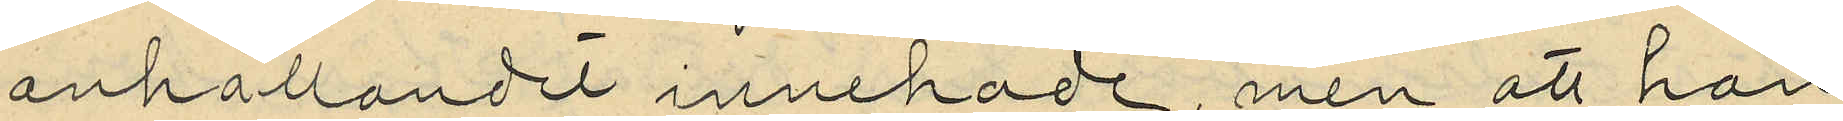anhållandet innehade, men att han
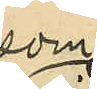som
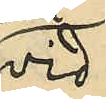vid
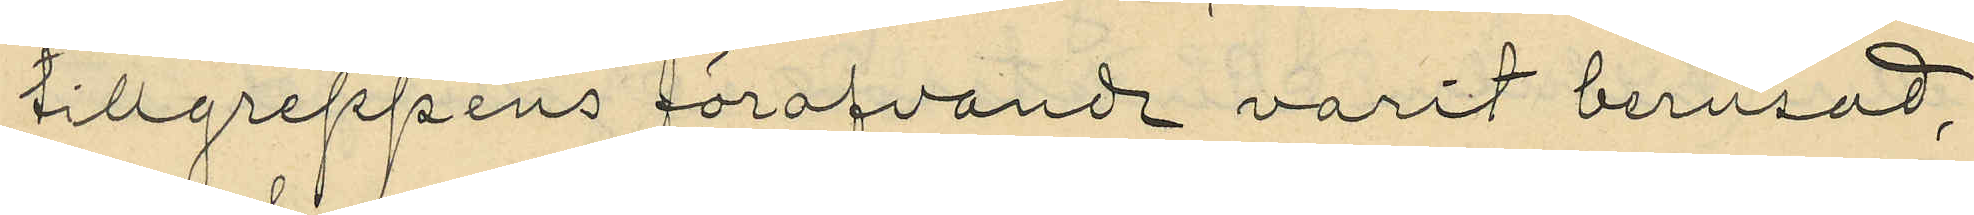tillgreppens föröfvande varit berusad,
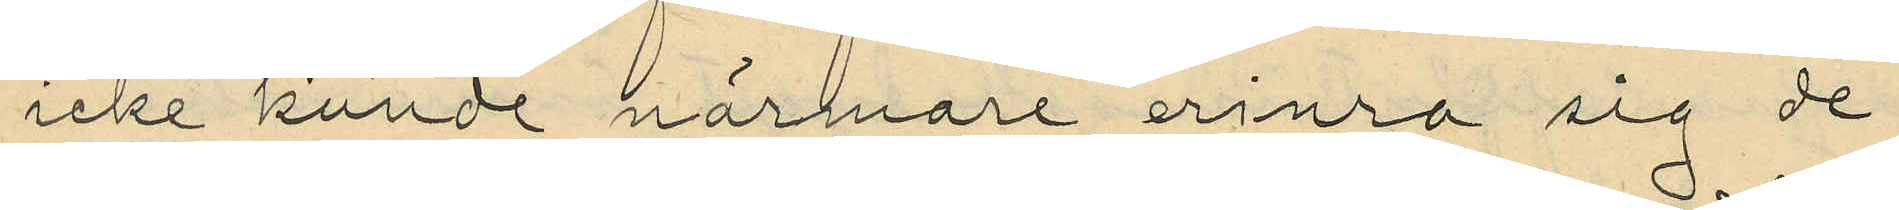icke kunde närmare erinra sig de
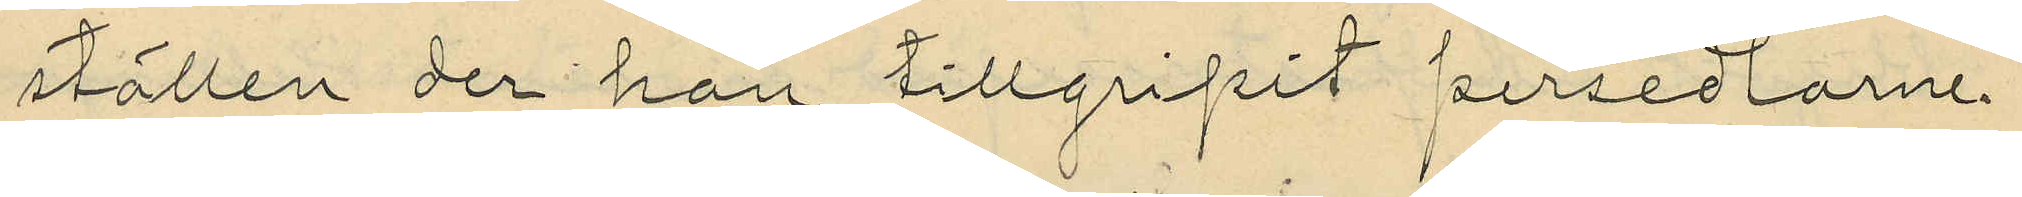ställen der han tillgripit persedlarne
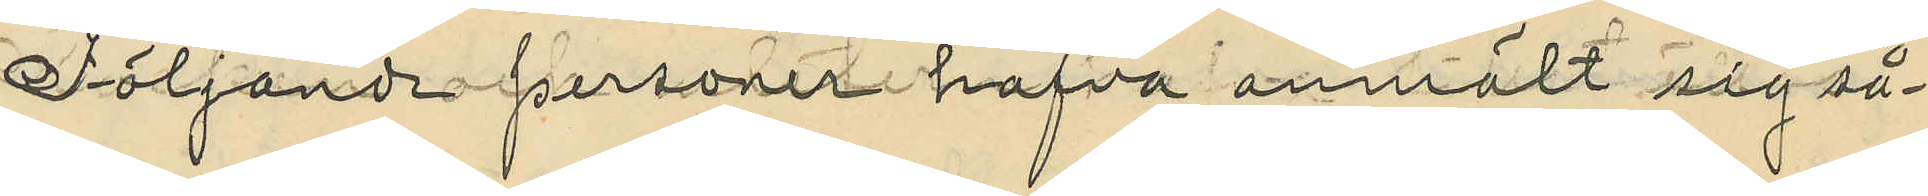Följande personer hafva anmält sig så¬
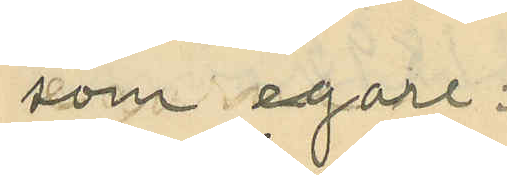som egare;
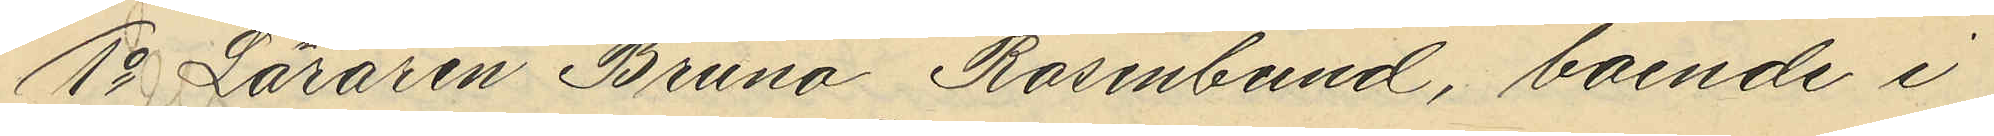1o Läraren Bruno Rosenbund, boende i
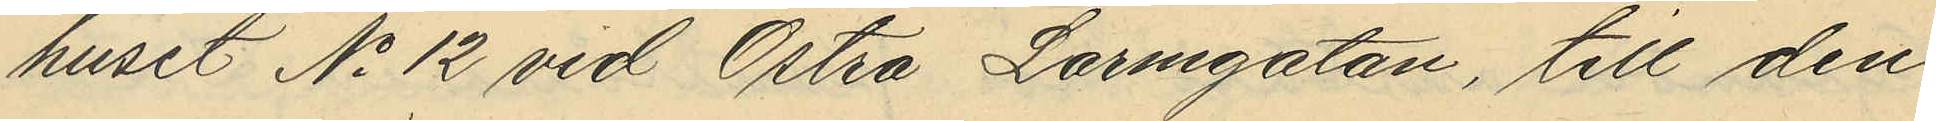huset No 12 vid Östra Larmgatan, till den
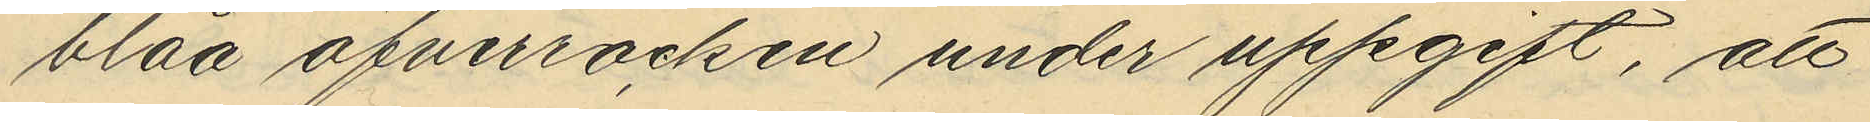blåa öfverrocken under uppgift, att
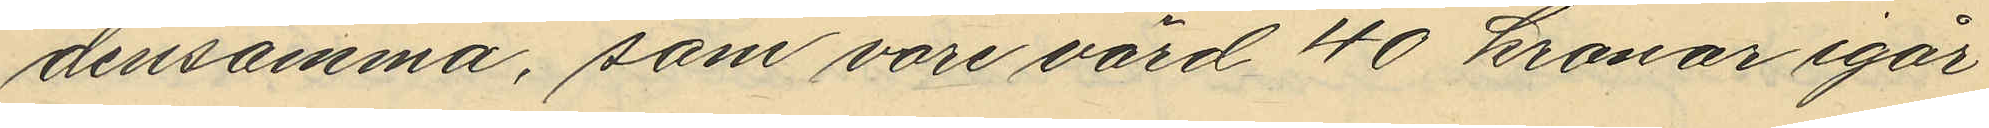densamma, som vore värd 40 kronor igår
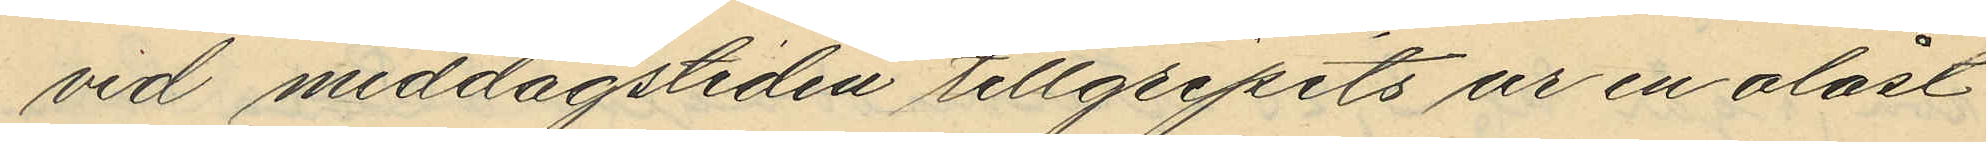vid middagstiden tillgripits ur en olåst
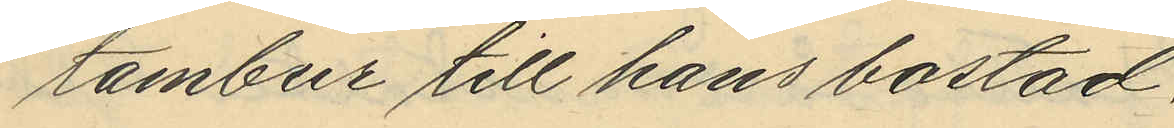tambur till hans bostad,
